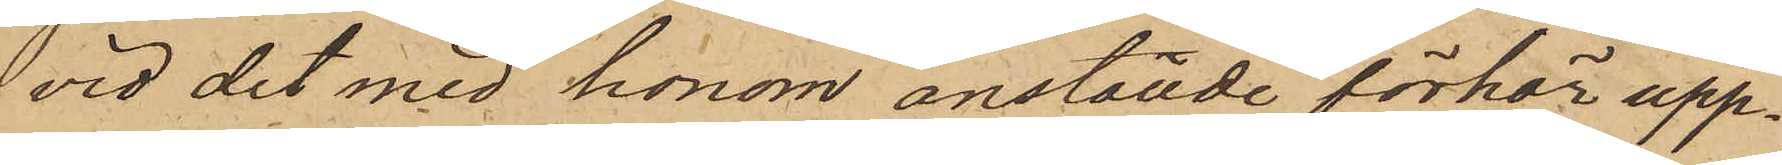vid det med honom anställde förhör upp¬
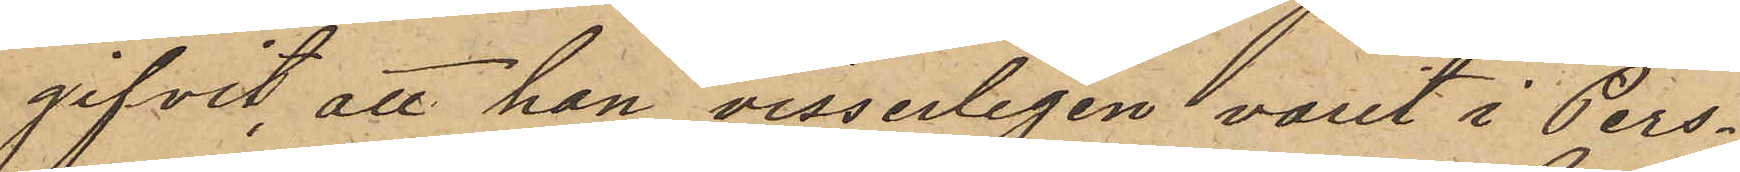gifvit, att han visserligen varit i Pers¬
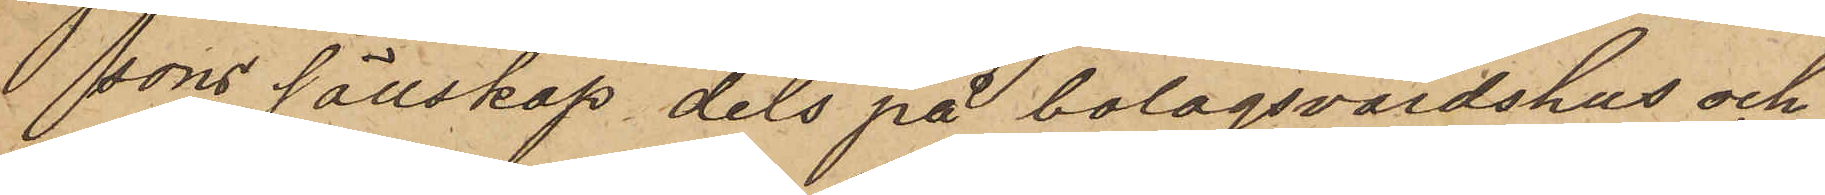sons sällskap dels på bolagsvärdshus och
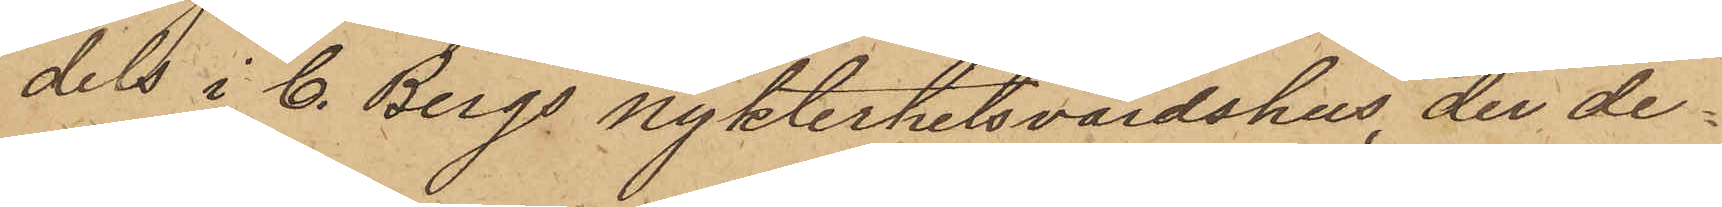dels i C. Bergs nykterhetsvärdshus, der de
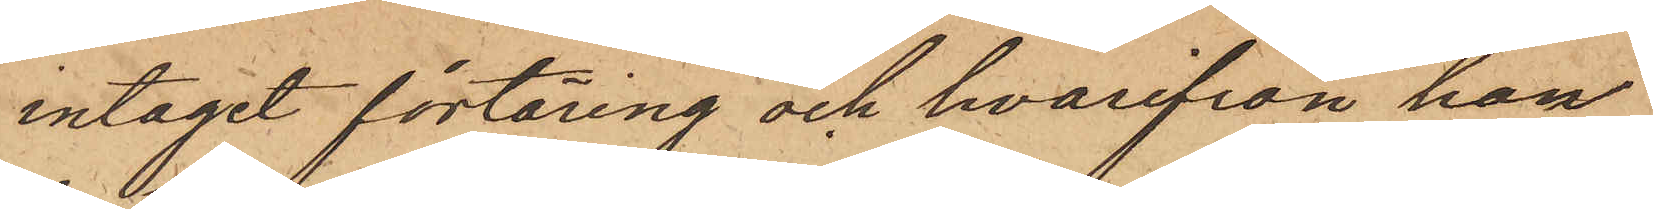intaget förtäring och hvarifrån han
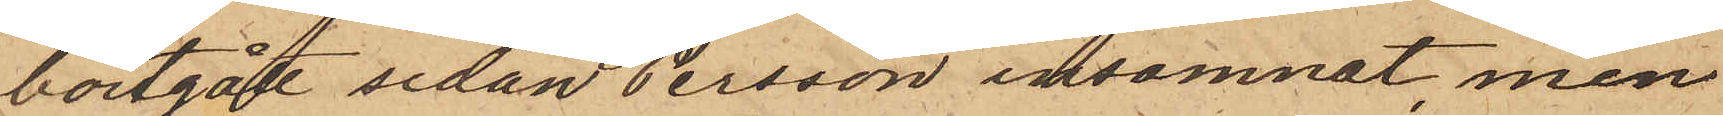bortgått sedan Persson insomnat, men
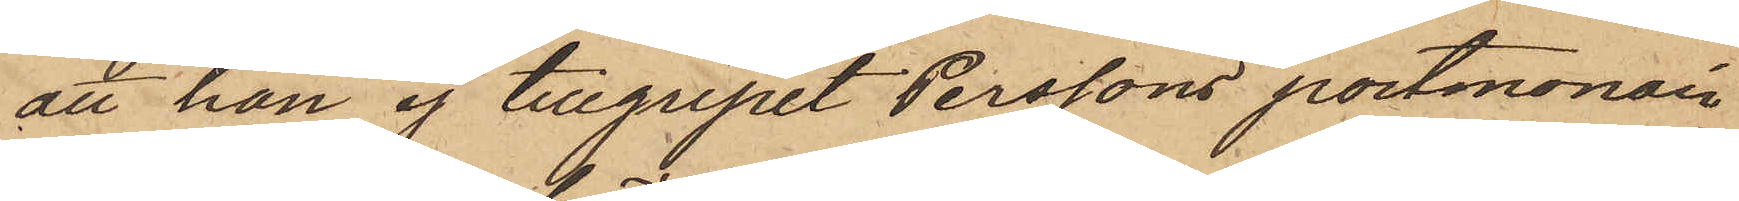att han ej tillgripit Perssons portmonaie
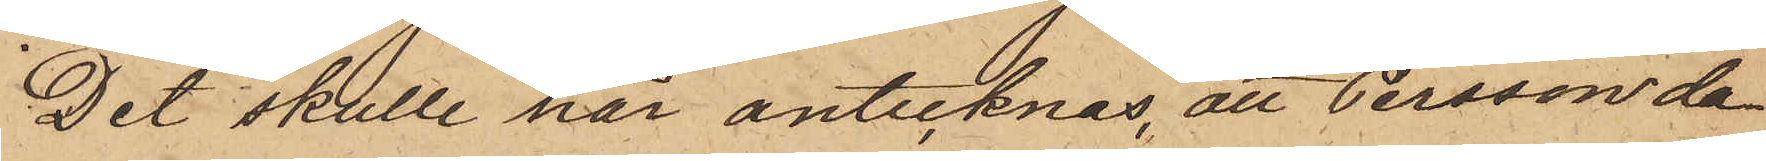Det skulle här antecknas, att Persson da¬
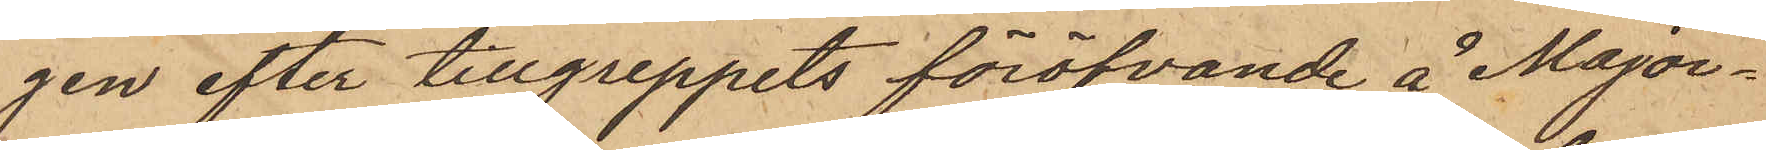gen efter tillgreppets föröfvande å Major¬
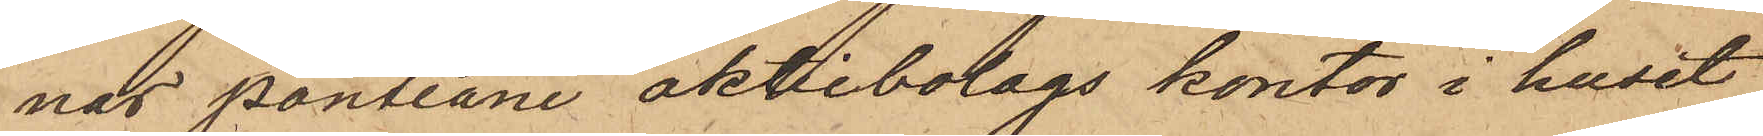nas pantlåne aktiebolags kontor i huset
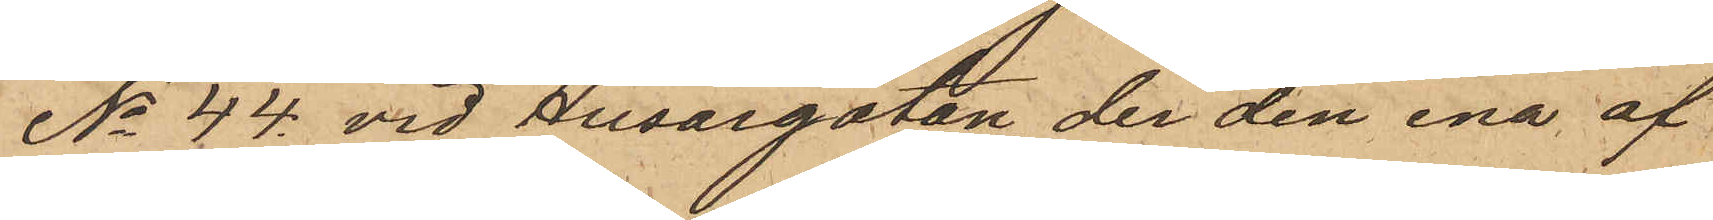No 44 vid Husargatan, der den ena af
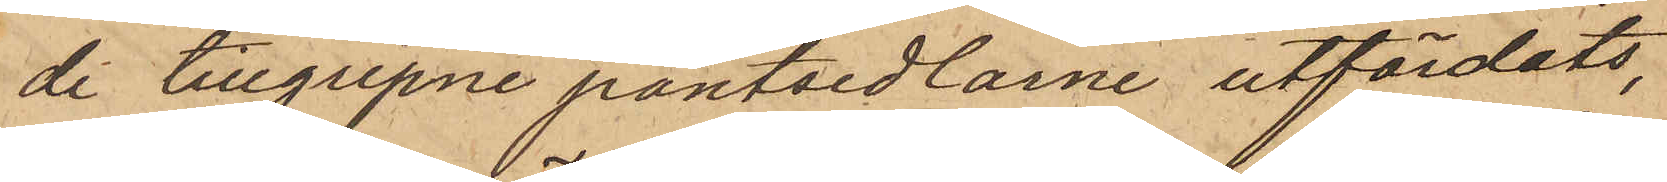de tillgripne pantsedlarne utfärdats,
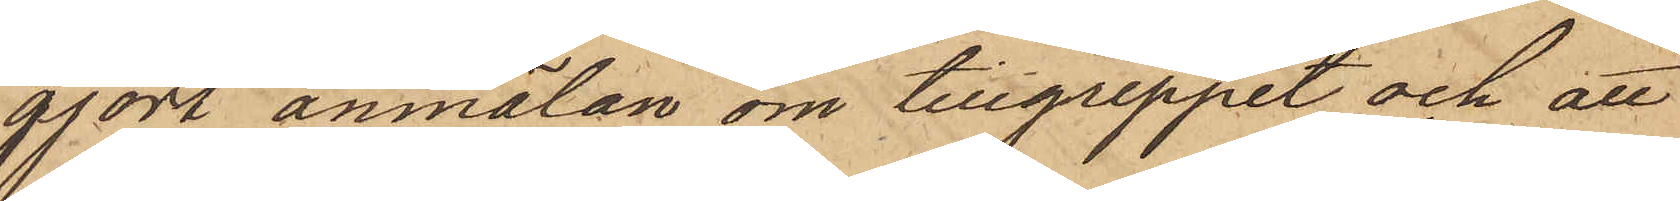gjort anmälan om tillgreppet och att
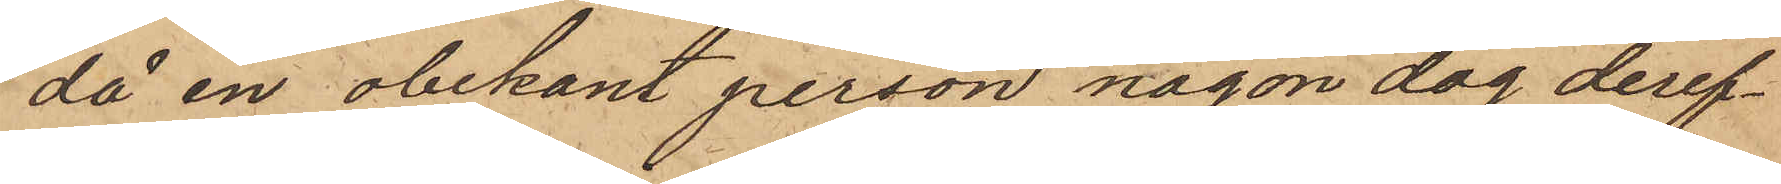då en obekant person någon dag deref¬
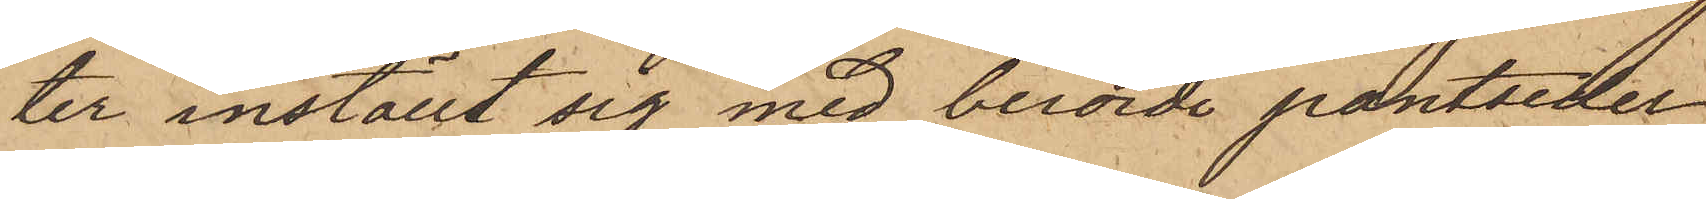ter inställt sig med berörde pantsedel
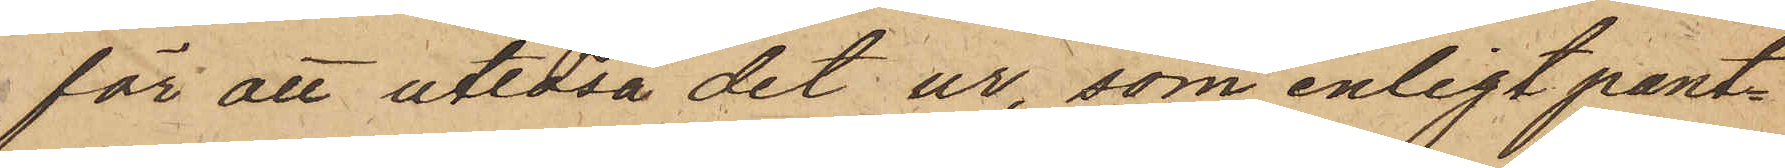för att utlösa det ur, som enligt pant¬
